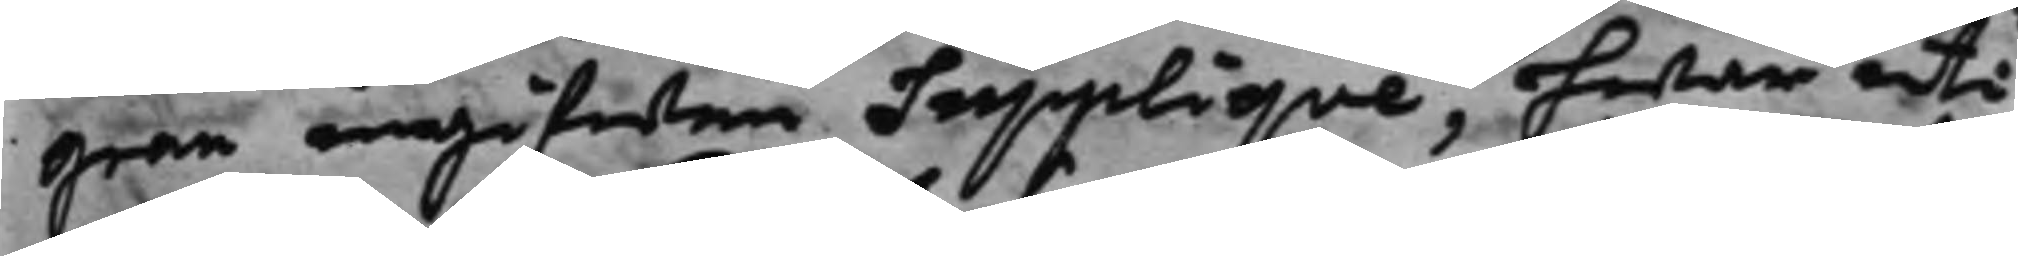gran ingifwen Suppliqve, hwar uti
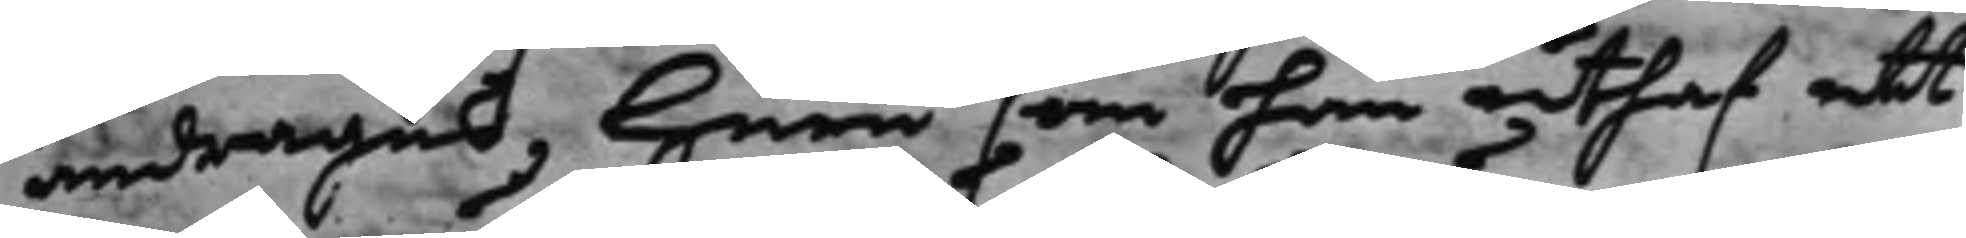andrages, huru som han uthaf ett
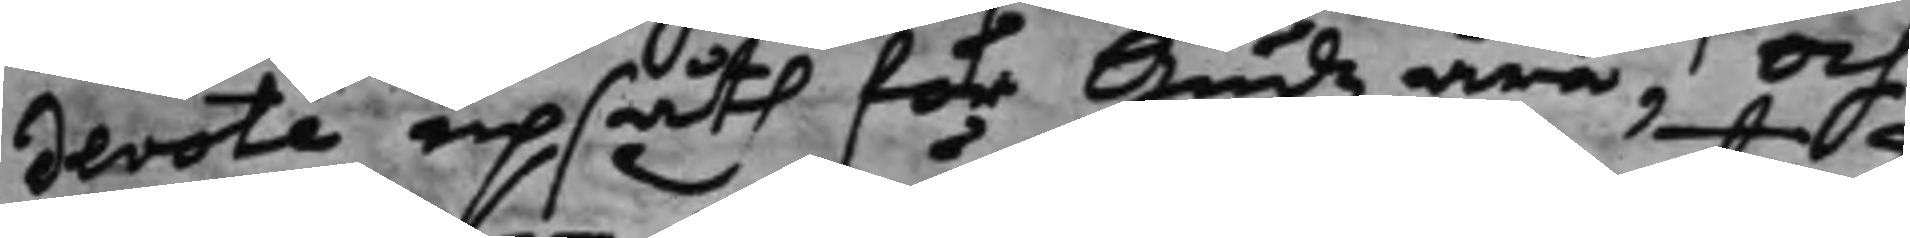devote upsåth för Gudz ära, Och
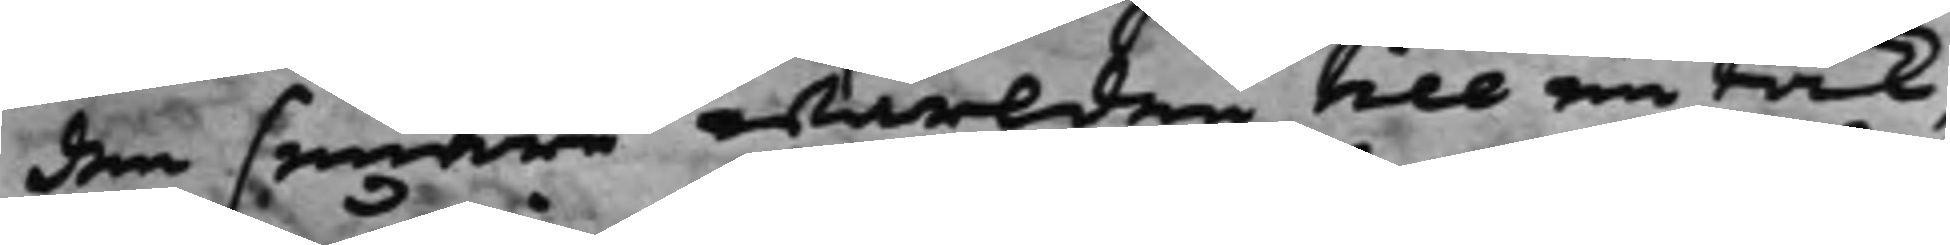den senare wärlden till en tak¬
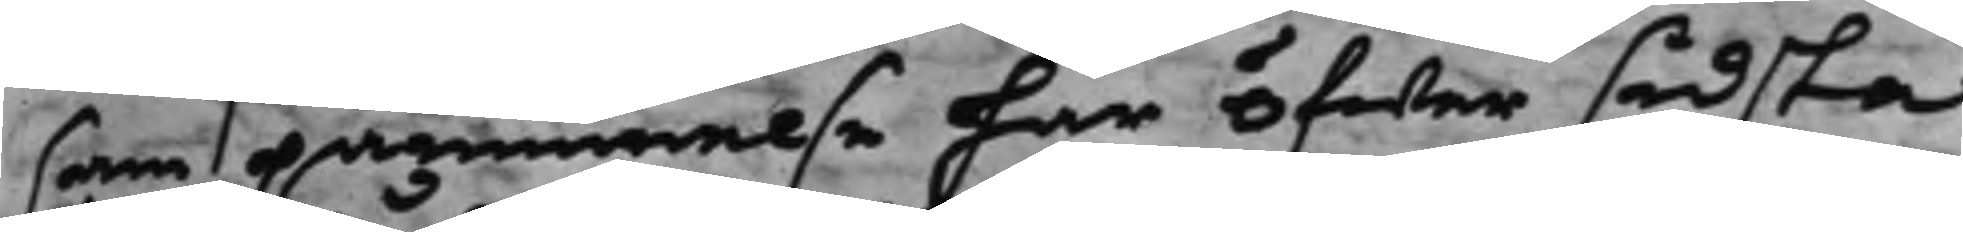sam påminnelse har öfwer sidsta
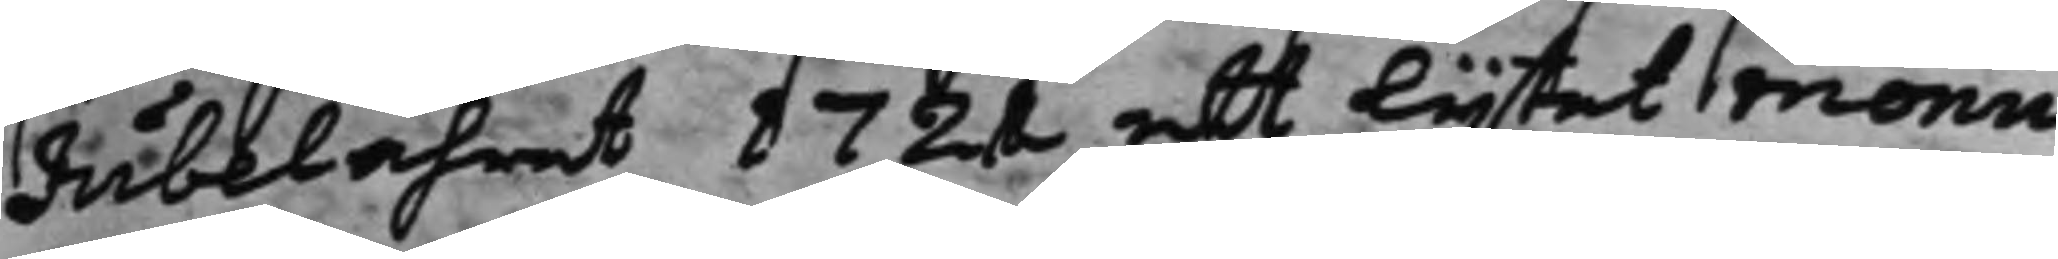Jubelåhret 1721 ett lijtet monu¬
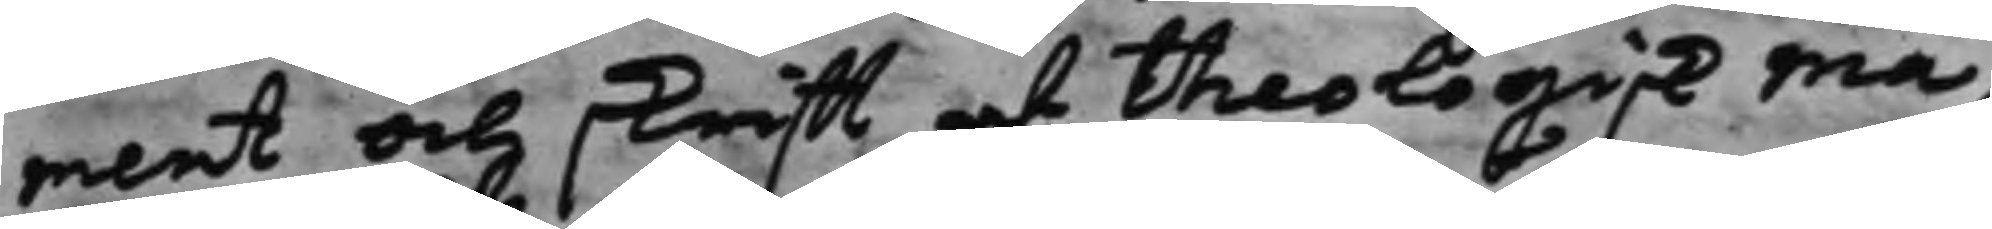ment och skrifft af Theologisk ma¬
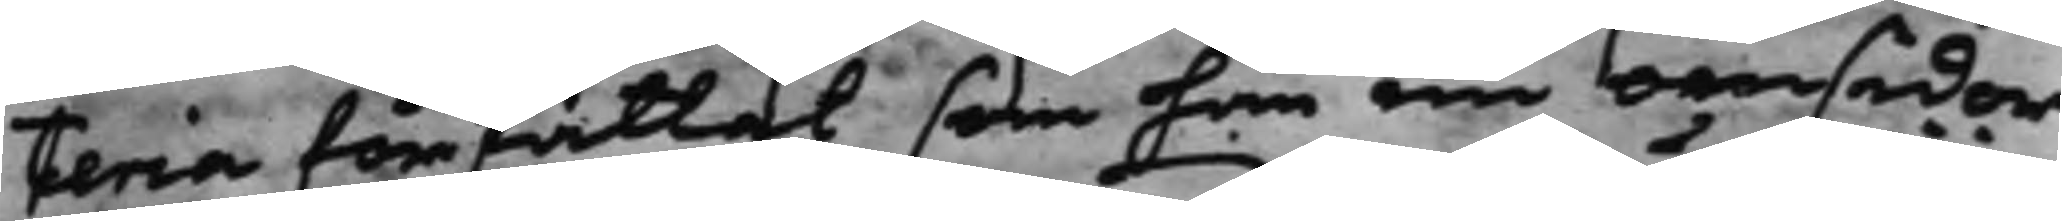teria författat som han nu omsider
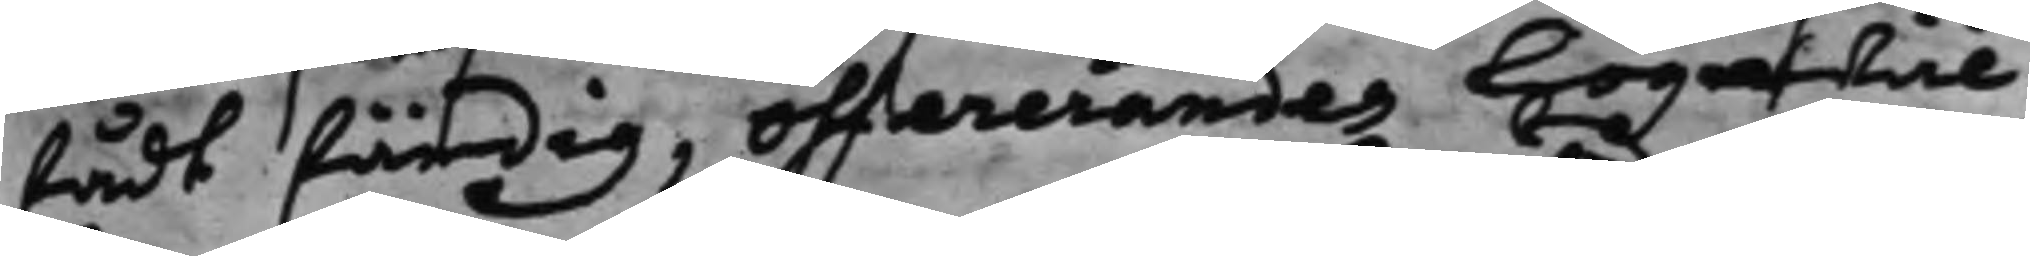fådt färdig, offererandes Högwäl¬
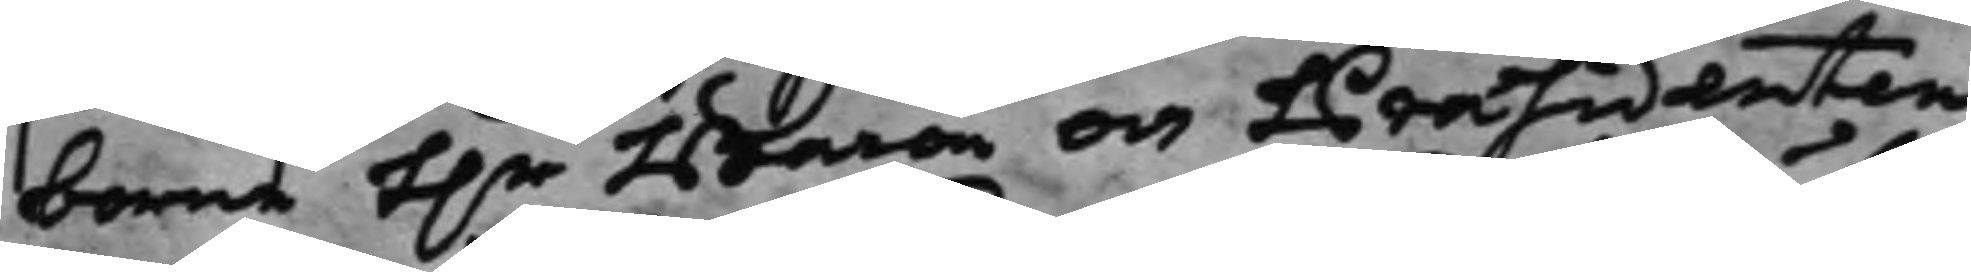borne h.r Baron och Præsidenten
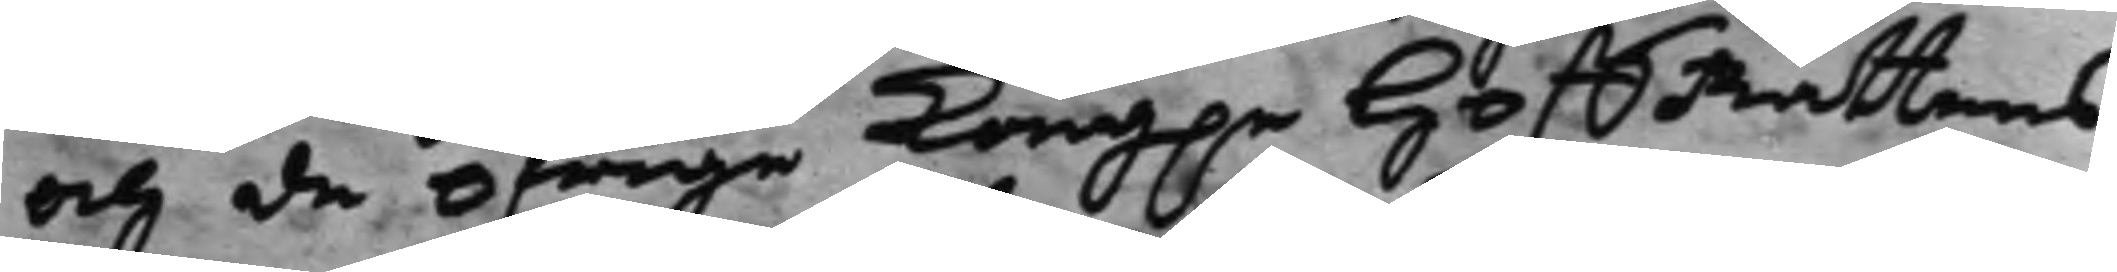och de öfrige Kong.e HoffRättens
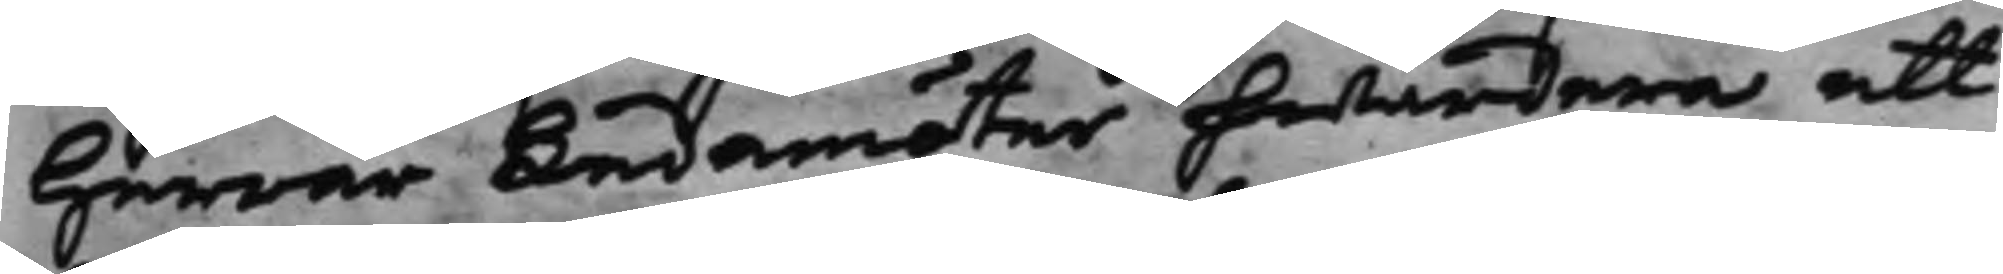Herrar Ledamöter hwardera ett
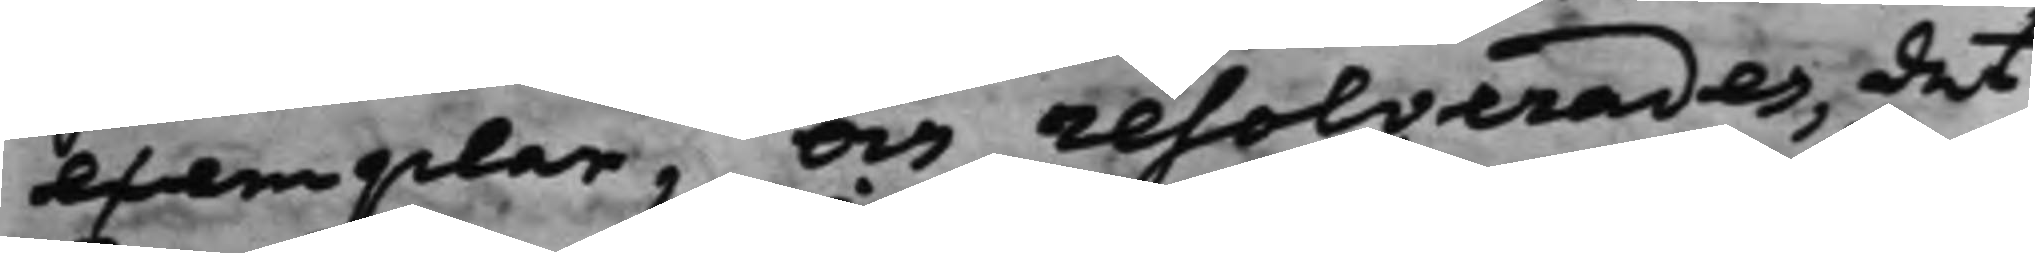exemplar, och resolverades, det
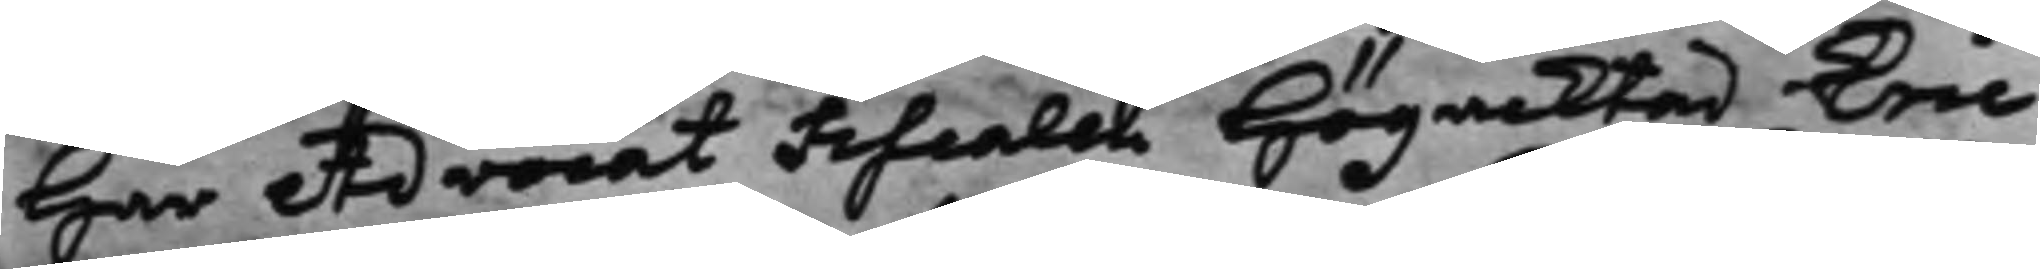Har Advocat Fiscalen Högacktad Eric
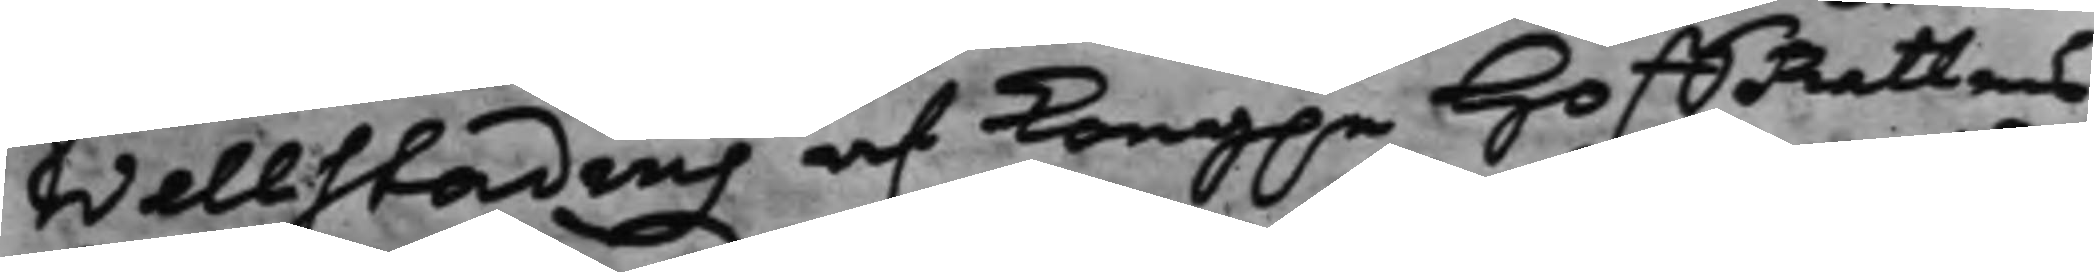Wellstadius af Kong.e HoffRättens
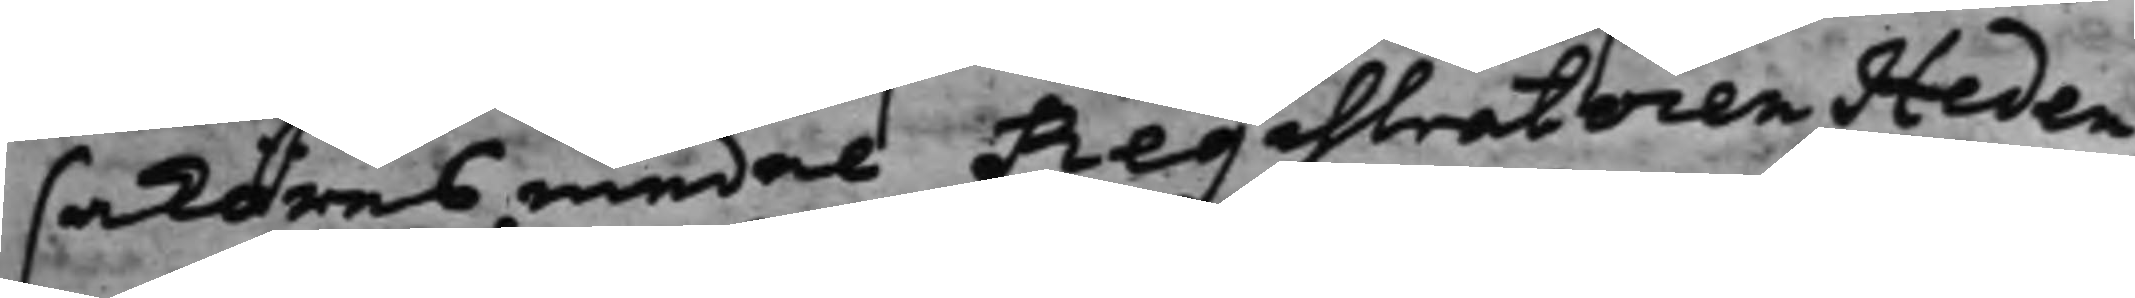saköresmedel Registratoren Heden¬
